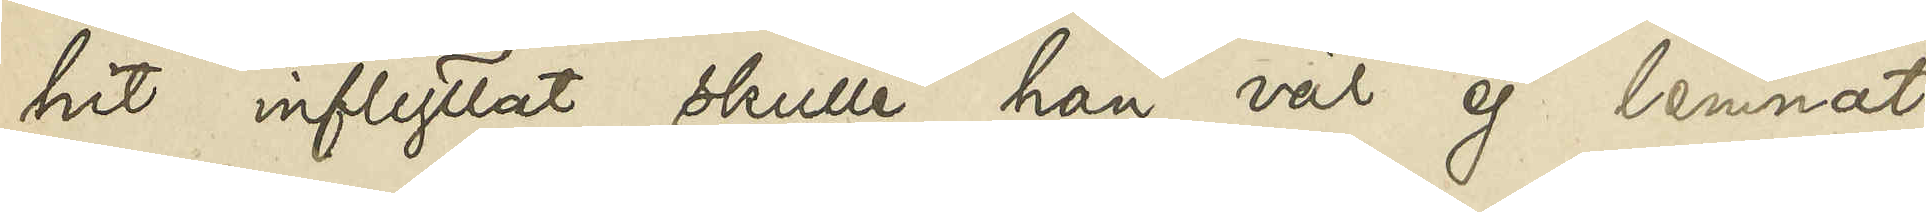hit inflyttat skulle han väl ej lemnat
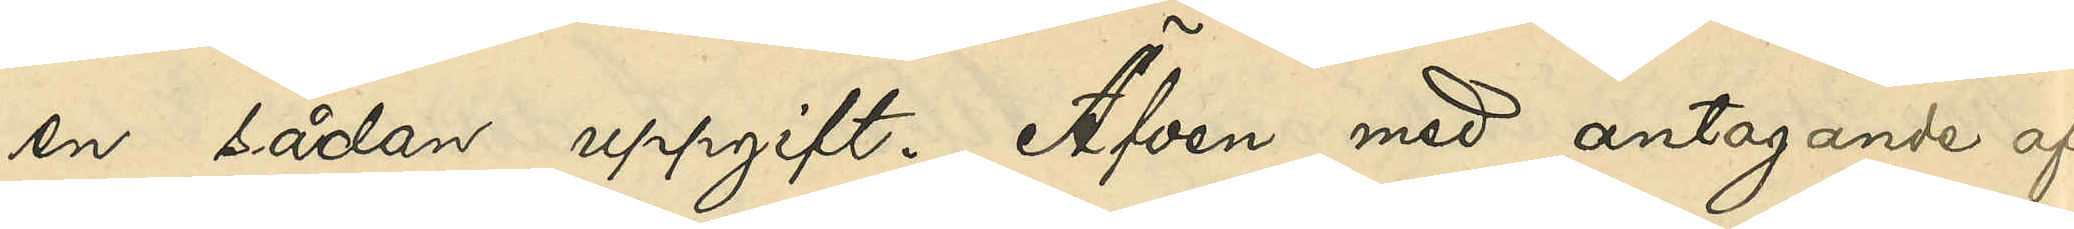en sådan uppgift. Äfven med antagande af
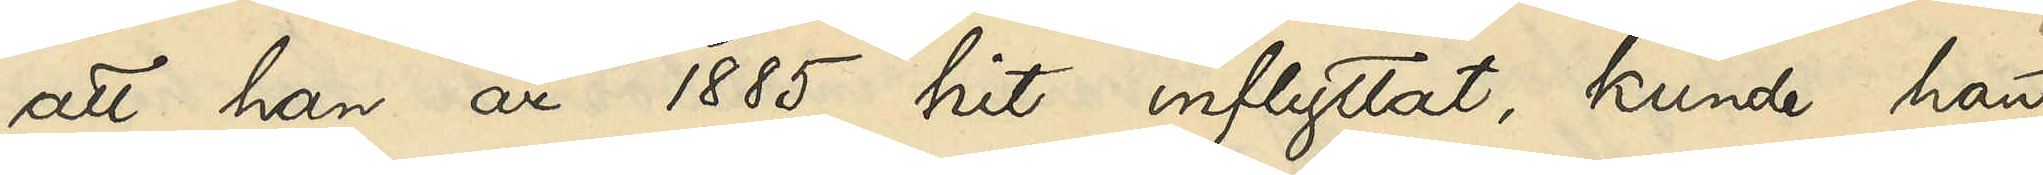att han år 1885 hit inflyttat, kunde han
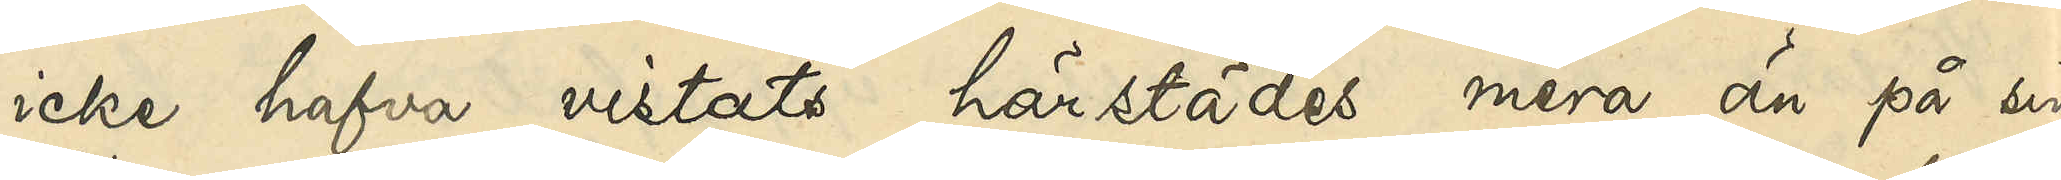icke vistats härstädes mera än på en
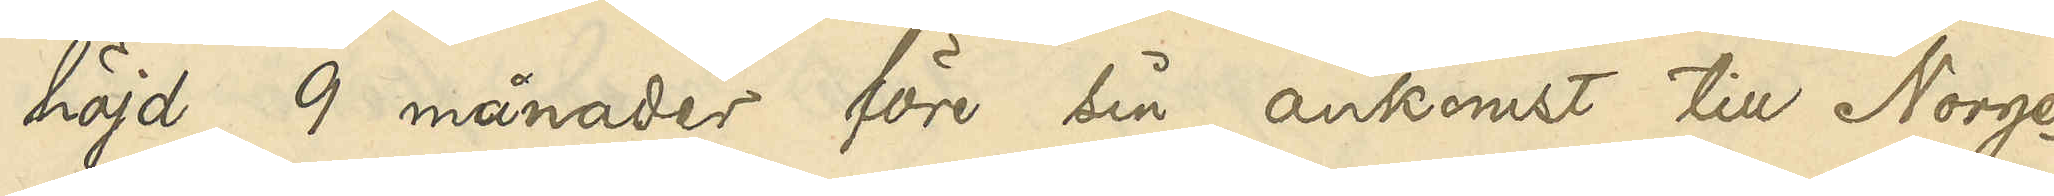höjd 9 månader före sin ankomst till Norge.
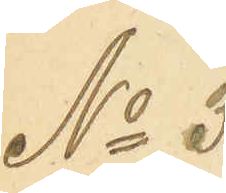No 3
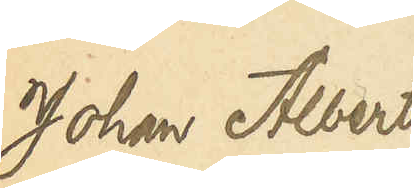Johan Albert
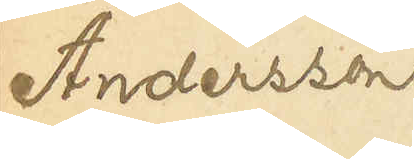Andersson
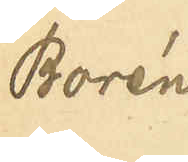Borén
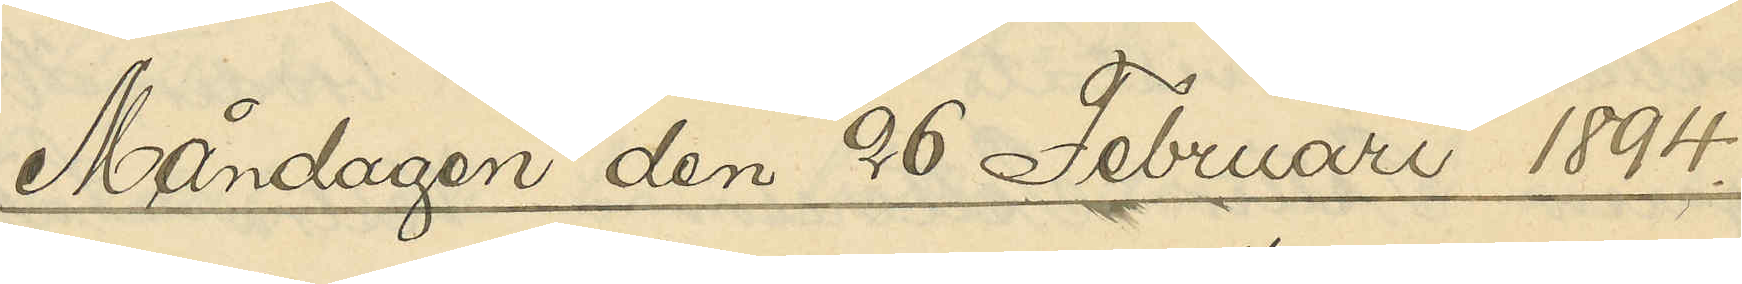Måndagen den 26 Februari 1894.
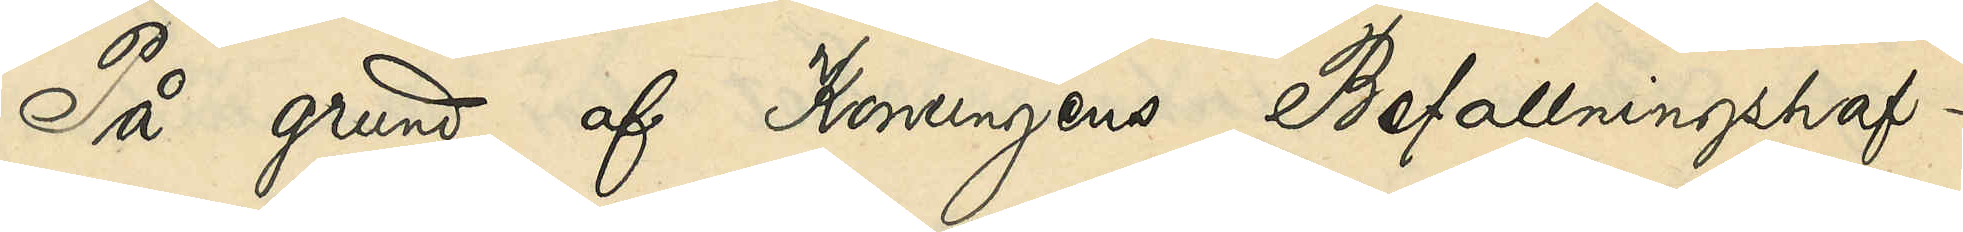På grund af Konungens befallningshaf¬
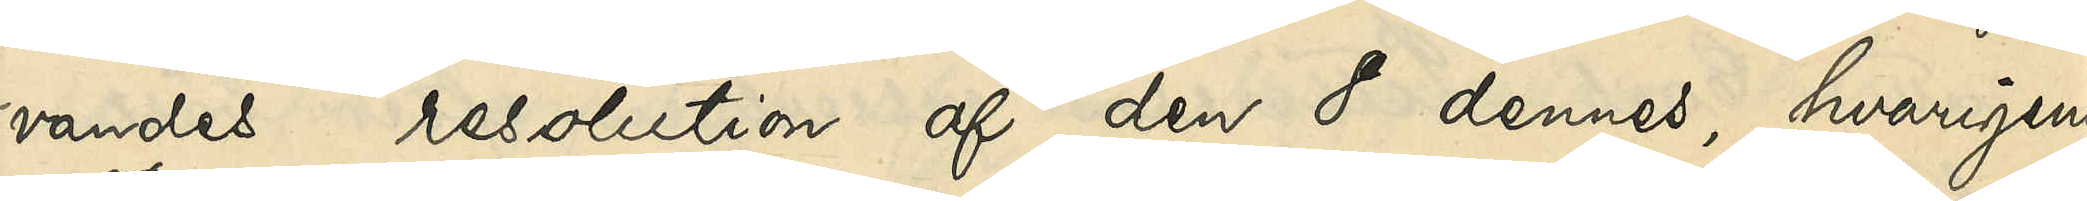vandes resolution af den 8 dennes ,hvarigenom
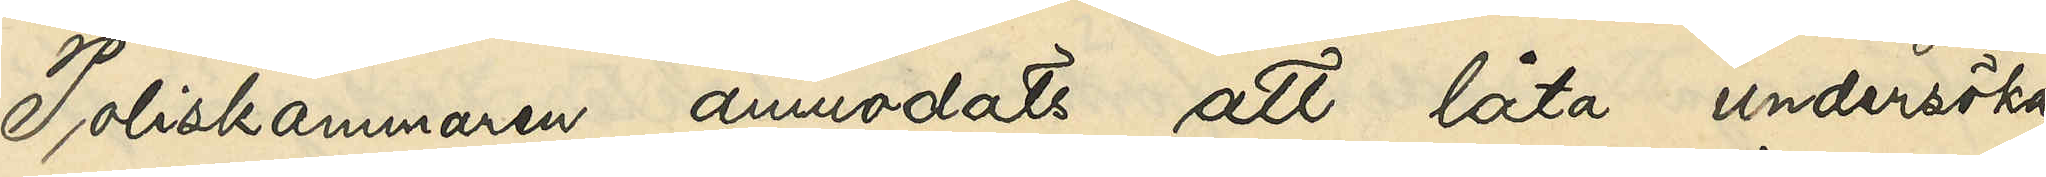Poliskammaren anmodats att låta undersöka
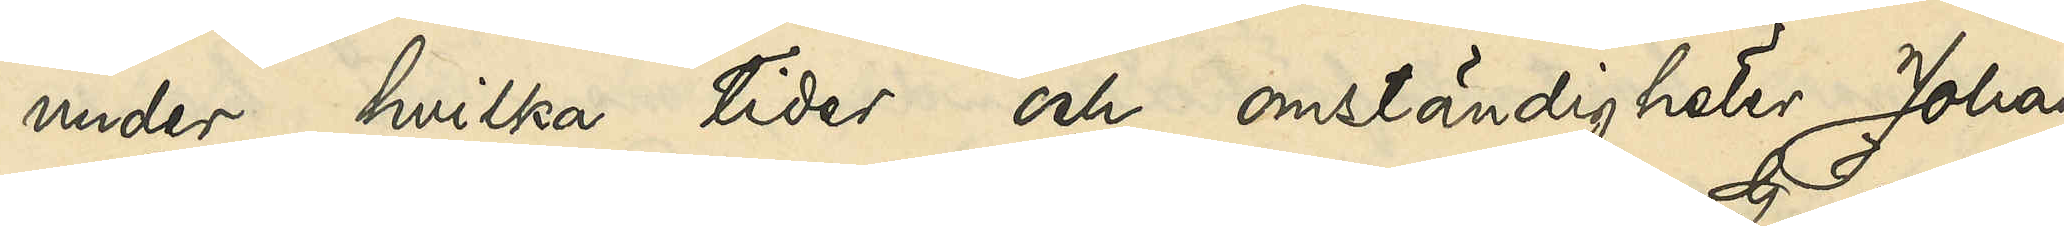under hvilka tider och omständigheter Johan
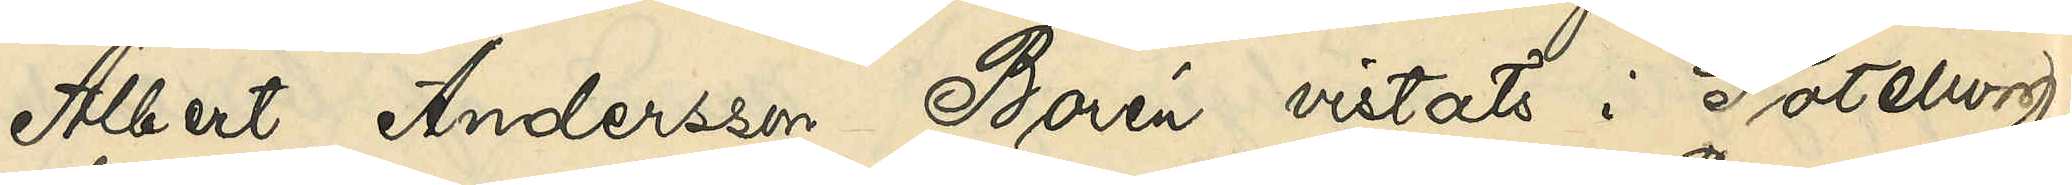Albert Andersson Borén vistats i Göteborg,
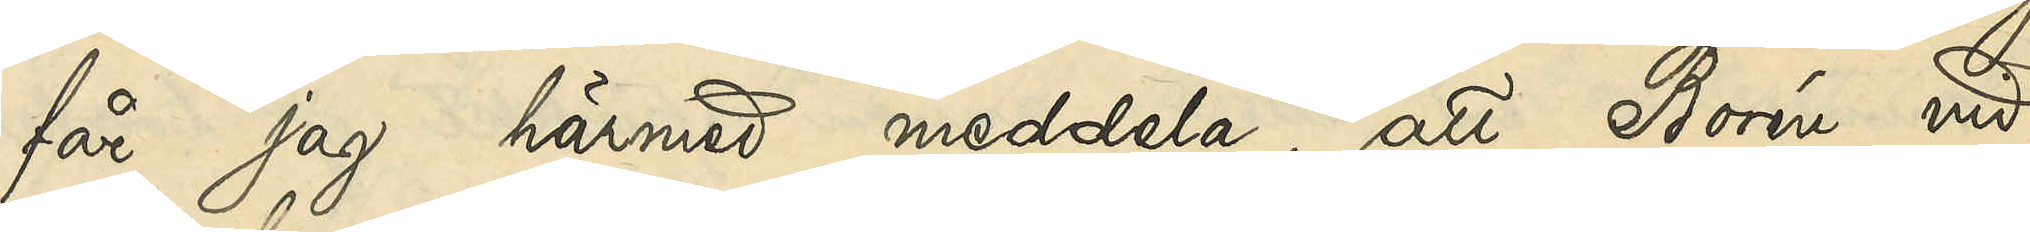får jag härmed meddela, att Borén vid
